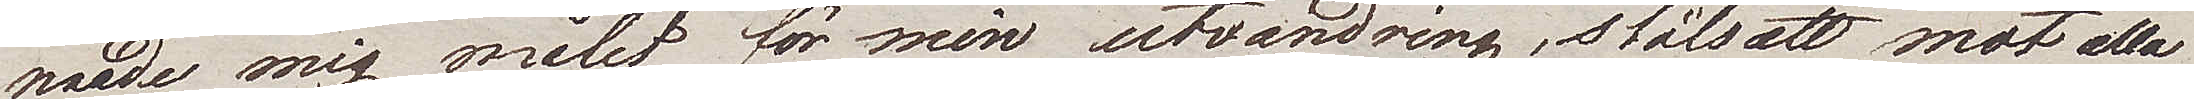made mig målet för min utvandring, stålsatt mot alla
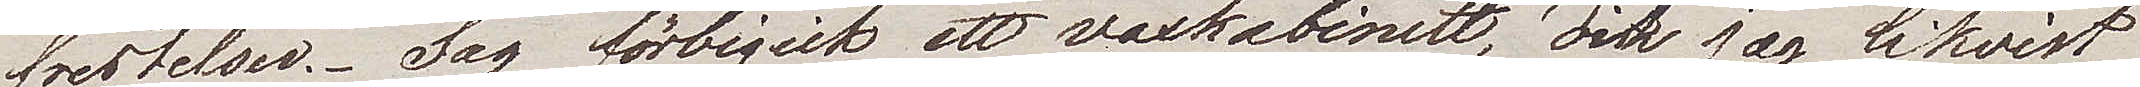frestelser. Jag förbigick ett vaxkabinett, dit jag likvist
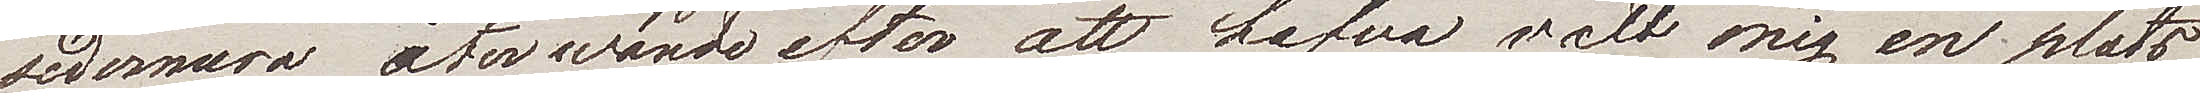sedermera återwände efter att hafva valt mig en plats
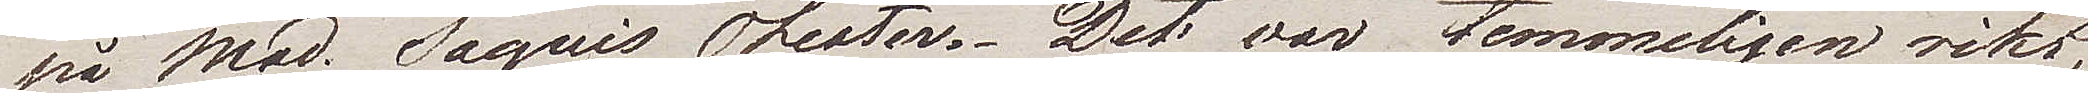på Mad. Saquis Theater. Det var temmeligen rikt,
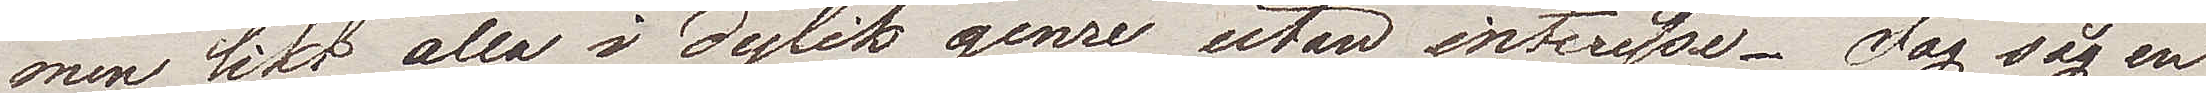men likt alla i dylik genre utan intresse. Jag såg en
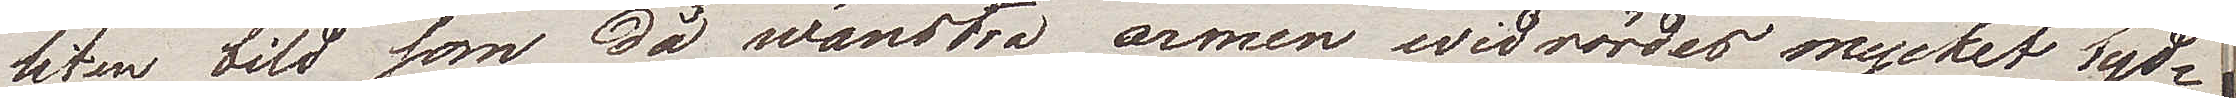liten bild som då wänstra armen widrördes mycket tyd¬
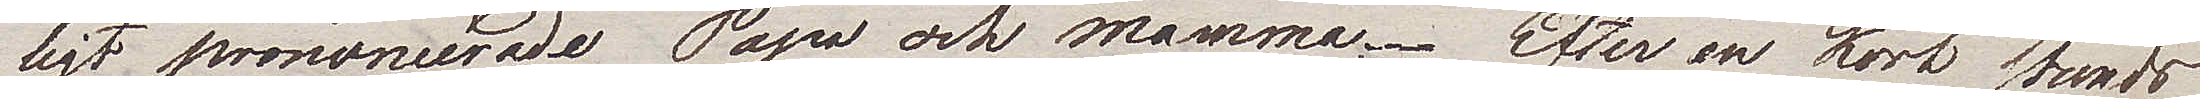ligt prononcerade Papa och Mamma. Efter en kort stunds
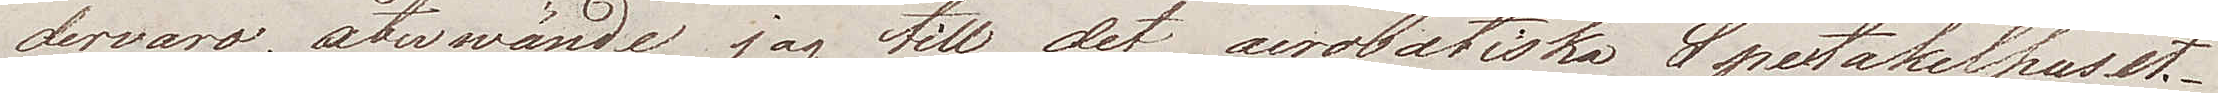dervaro, återwände jag till det acrobatiska Spectakelhuset.
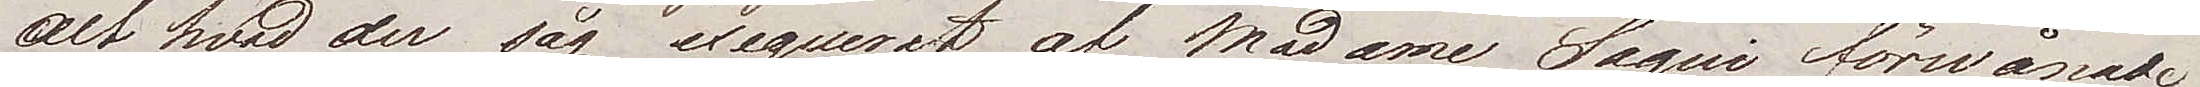Alt hvad der såg exequerat af Madame Sagui förwånade
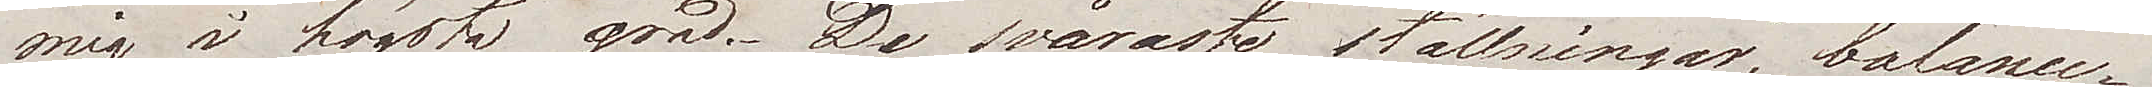mig i högsta grad. De svåraste ställningar, balance¬
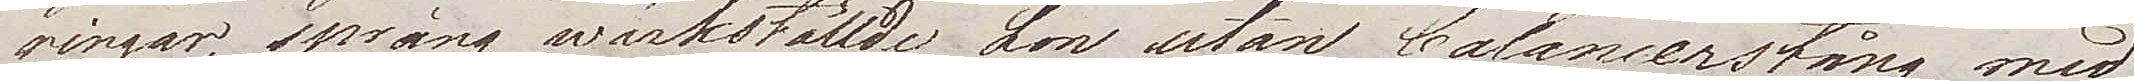ringar, språng wärkställde hon utan balancerstång med
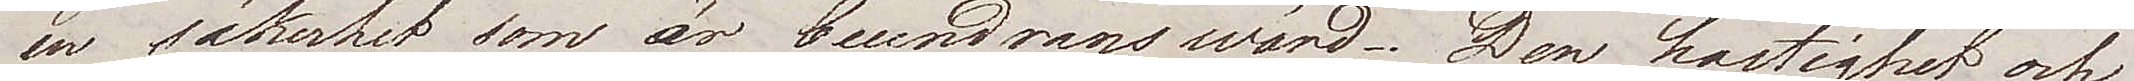en säkerhet som är beundranswärd. Den hastighet och
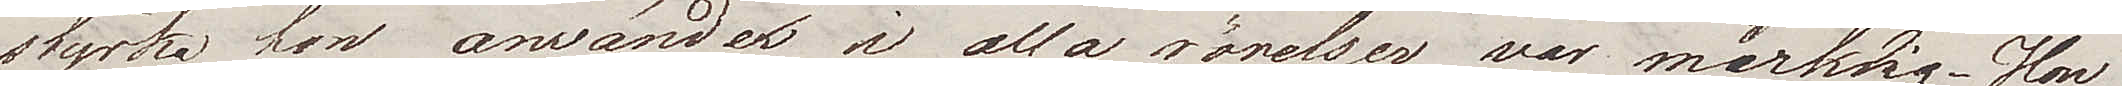styrka hon använder i alla rörelser var märklig. Hon
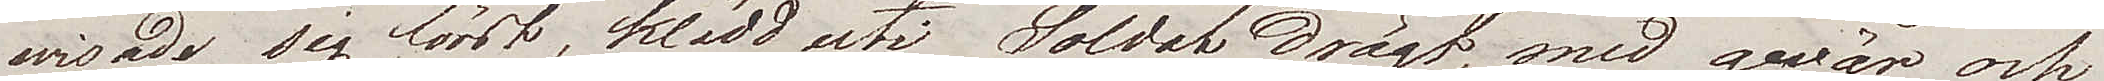wisade sig först, klädd uti Soldat Drägt, med gevär och
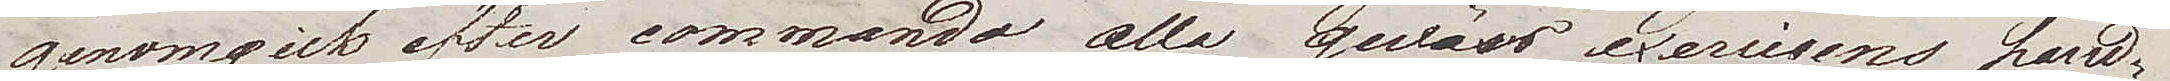genomgick efter commando alla gevärs exercisens hand¬
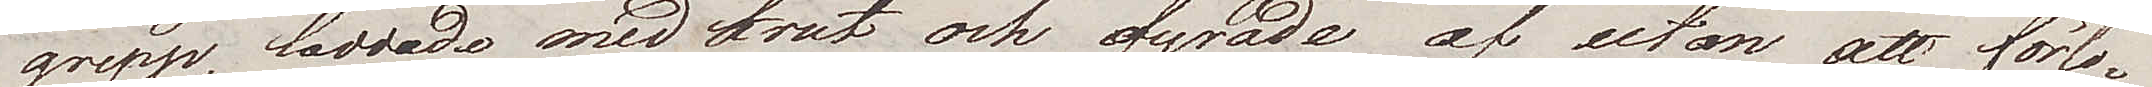grepp, laddade med krut och fyrade af utan att förlo¬
